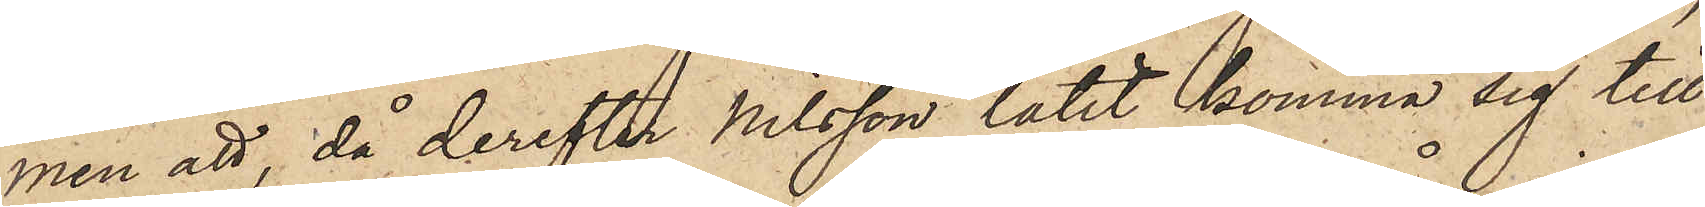men att, då derefter Nilsson låtit komma sig till
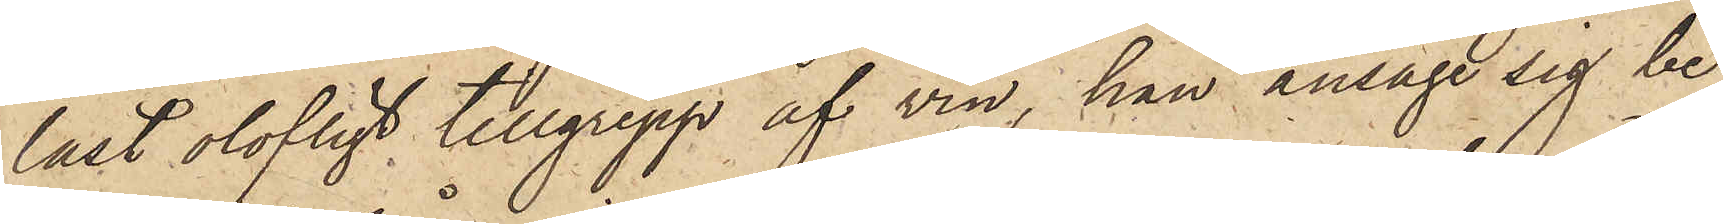last olofligt tillgrepp af vin, han ansåge sig be¬
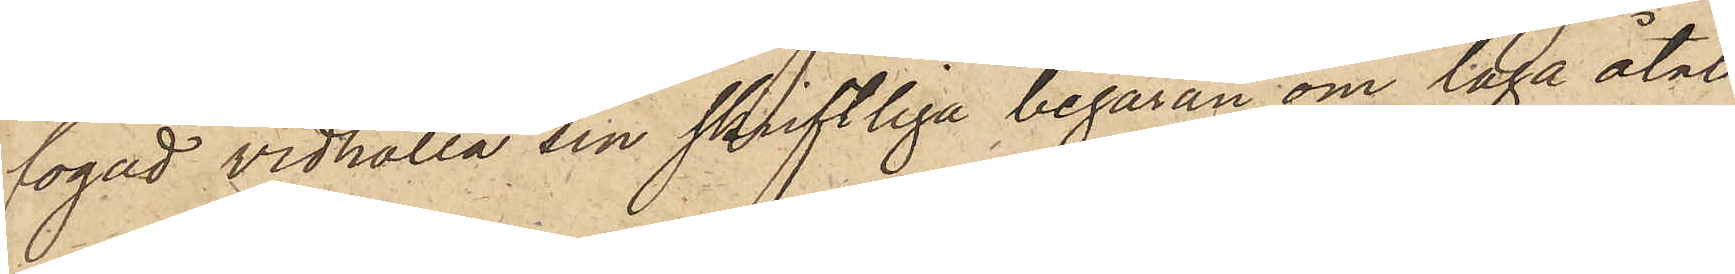fogad vidhålla sin skriftliga begäran om laga åtal
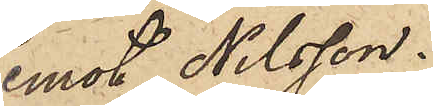emot Nilsson.
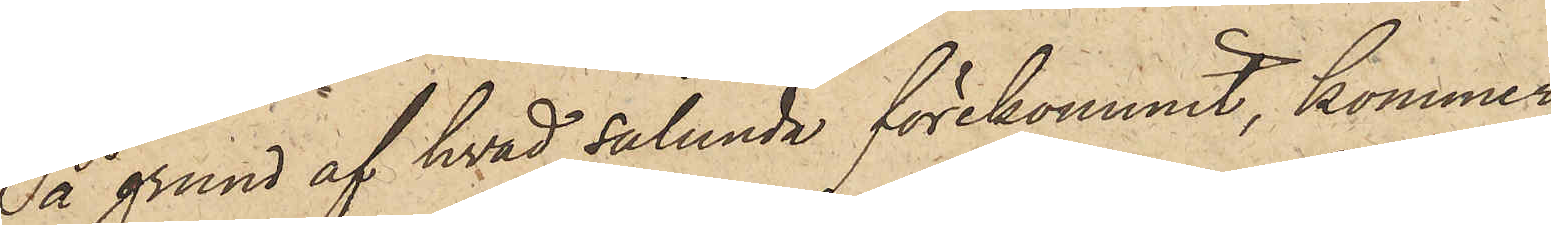På grund af hvad sålunda förekommit, kommer
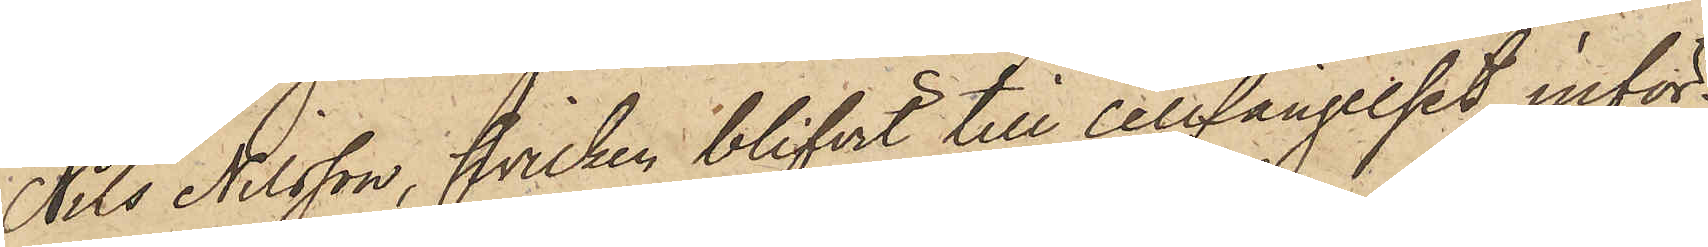Nils Nilsson, hvilken blifvit till cellfängelset inför¬
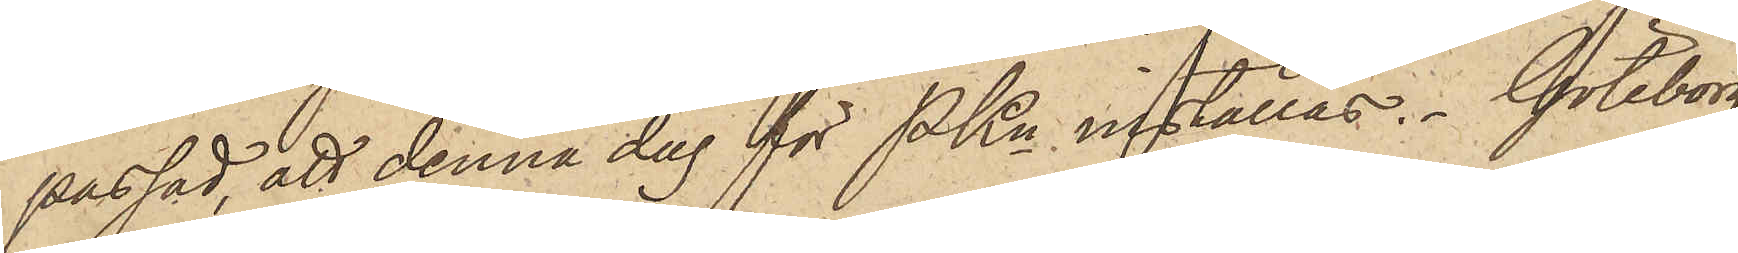passad, att denna dag för PKn inställas. Göteborg
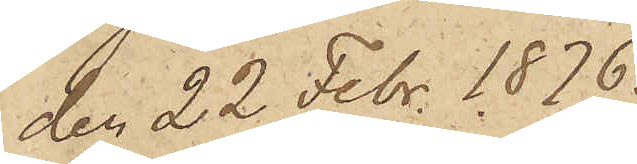den 22 Febr 1876.
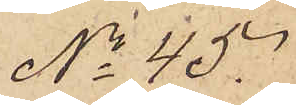No 45.
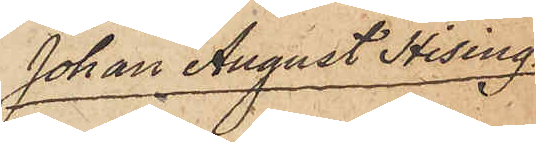Johan August Hising
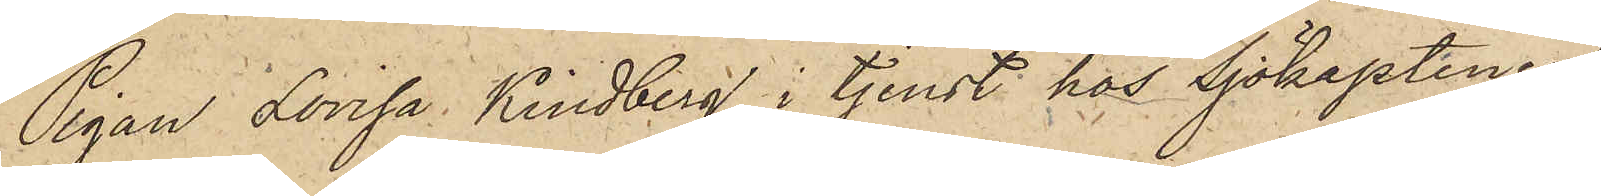Pigan Lovisa Kindberg, i tjenst hos Sjökaptenen
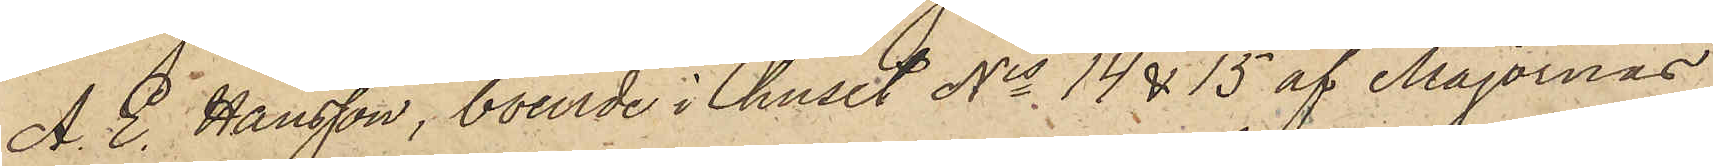A. E. Hansson, boende i huset Nis 14 & 15 af Majornas
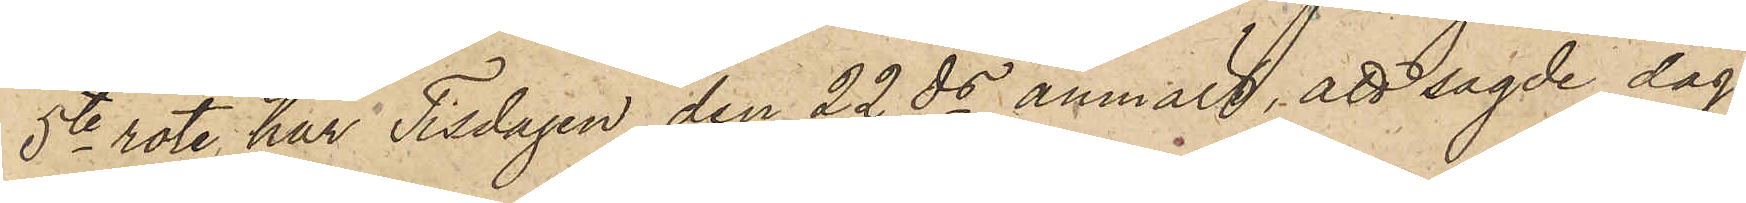5te rote, har Tisdagen den 22 ds anmält, att sagde dag
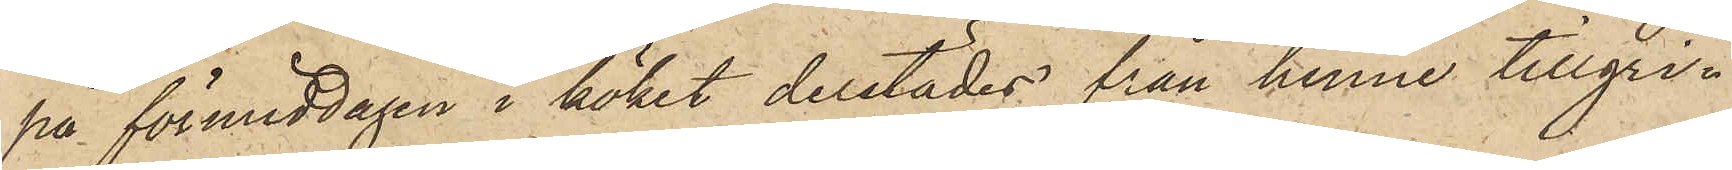på förmiddagen i köket derstädes från henne tillgri¬
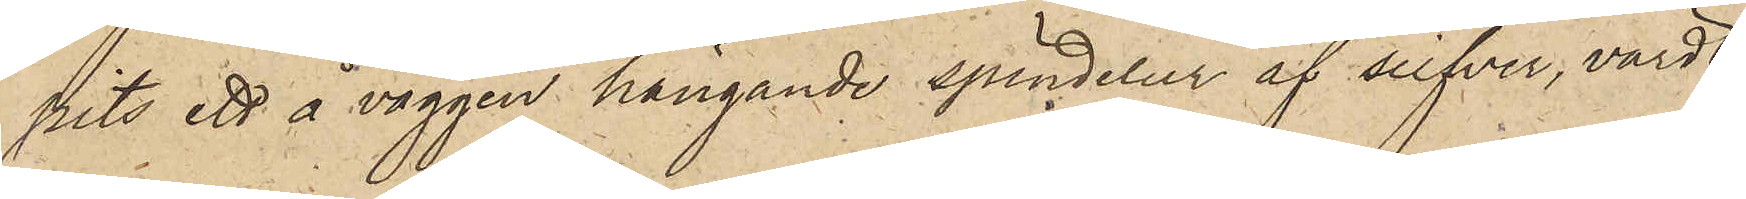pits ett å väggen hängande spindelur af silfver, värdt
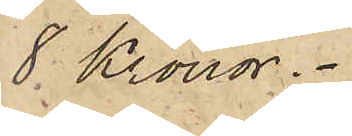8 Kronor.
